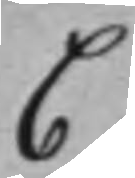C
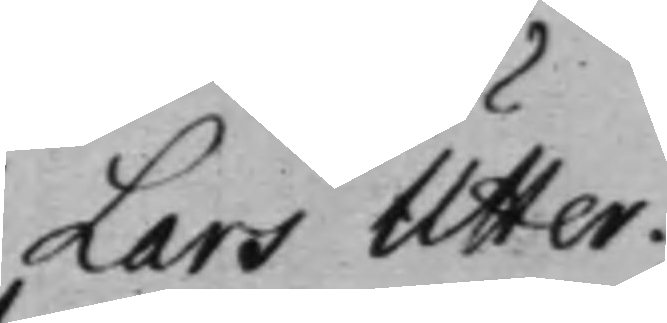Lars Utter.
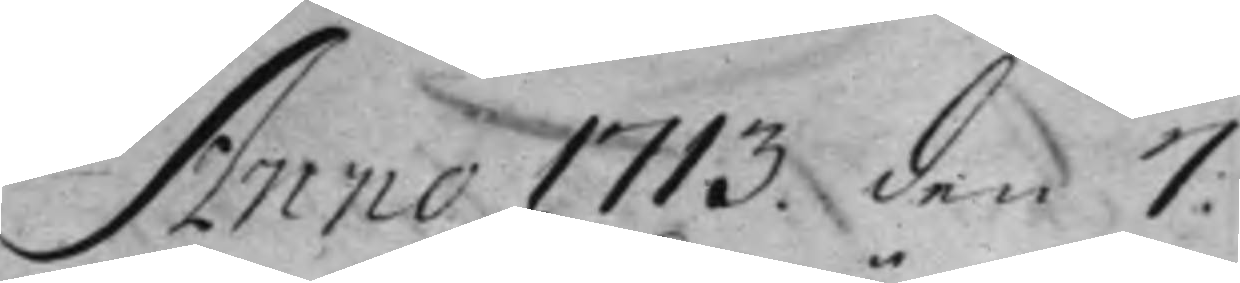Anno 1713. den 7:
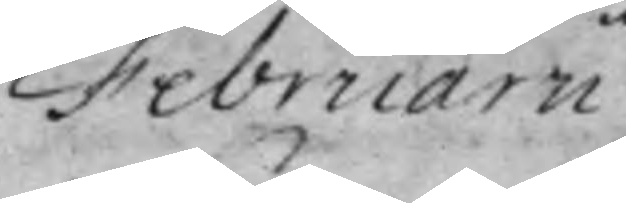Februarii.
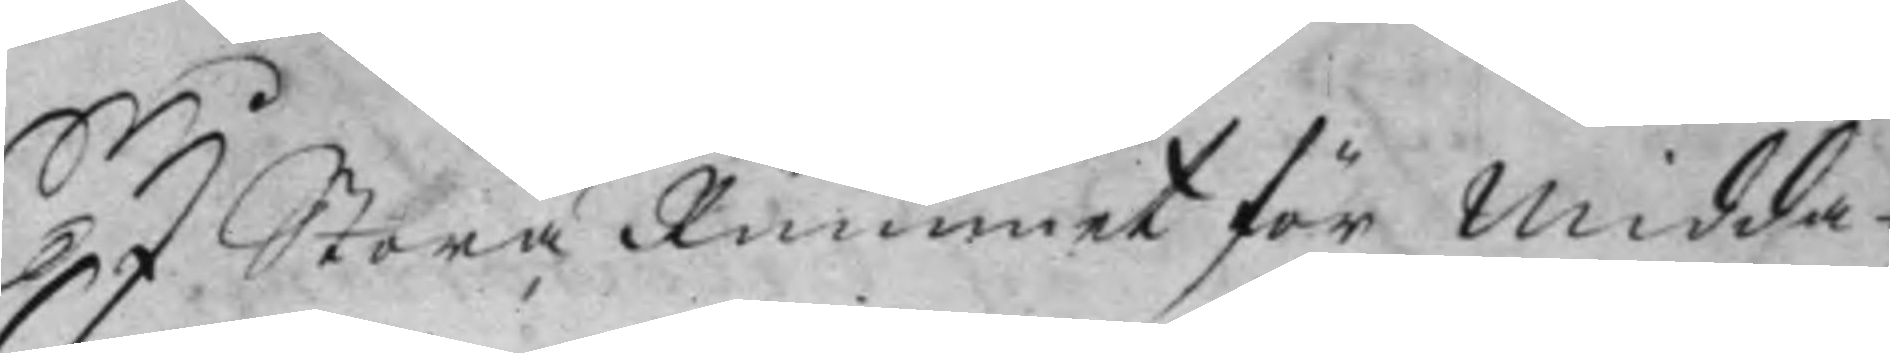I Stora Rummet för Midda¬
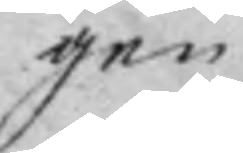gen
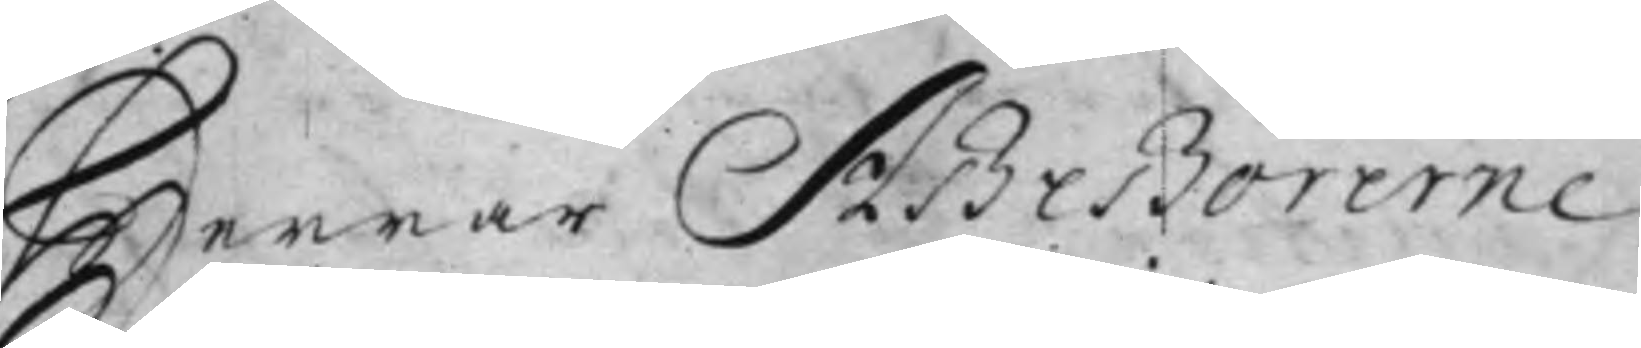Herrar Aßeßorerne.
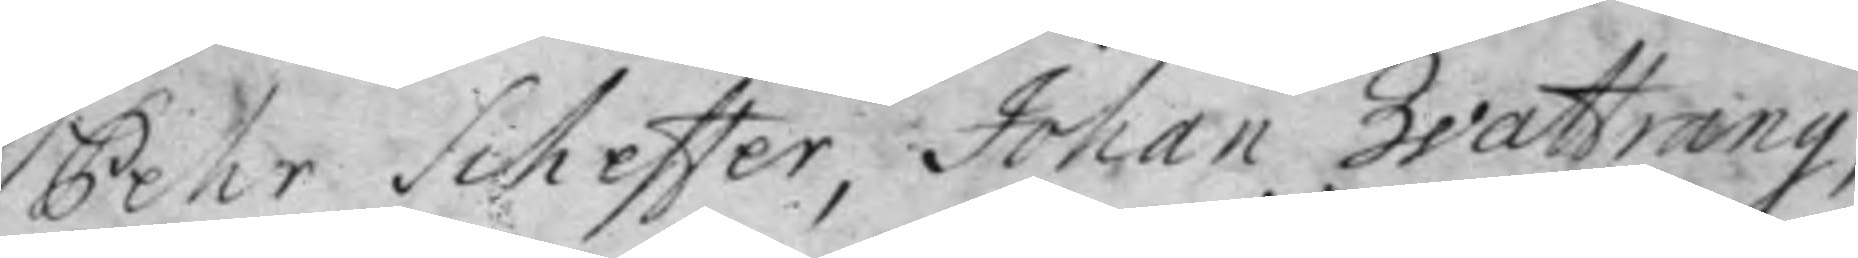Pehr Scheffer, Johan Wattrang,
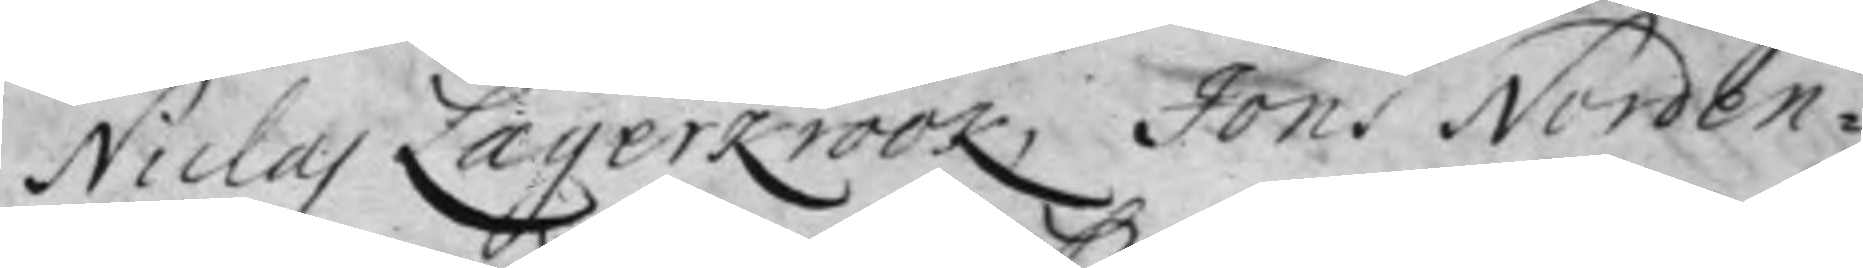Niclas Lagerkrook, Jöns Norden¬
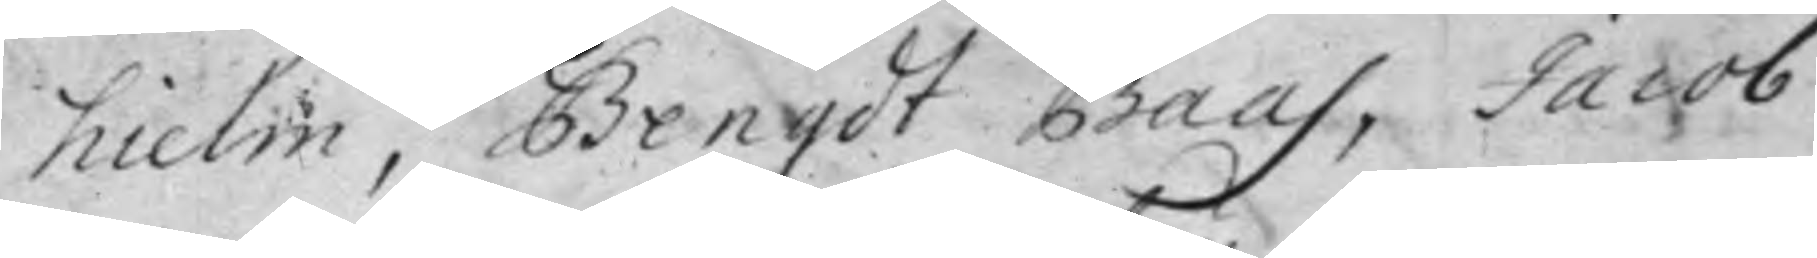hielm, Bengdt Baas, Jacob
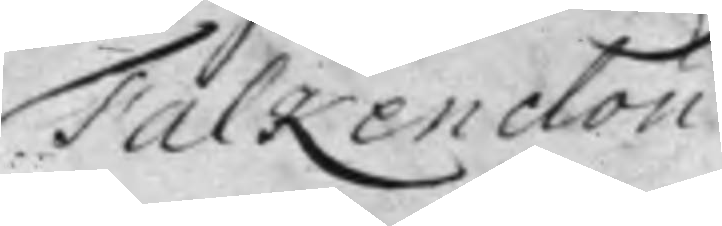Falkenclou.
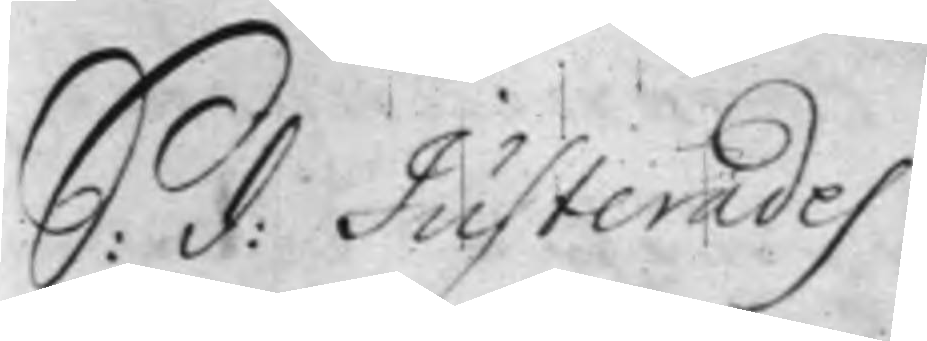S: d: Justerades
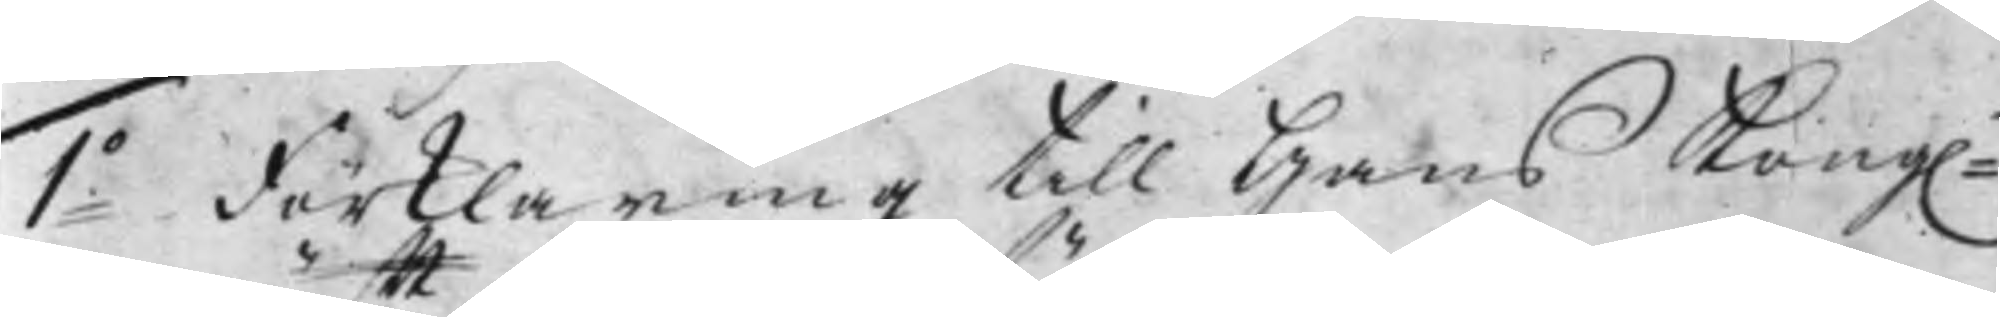1:o Förklaring till Hans Kong:
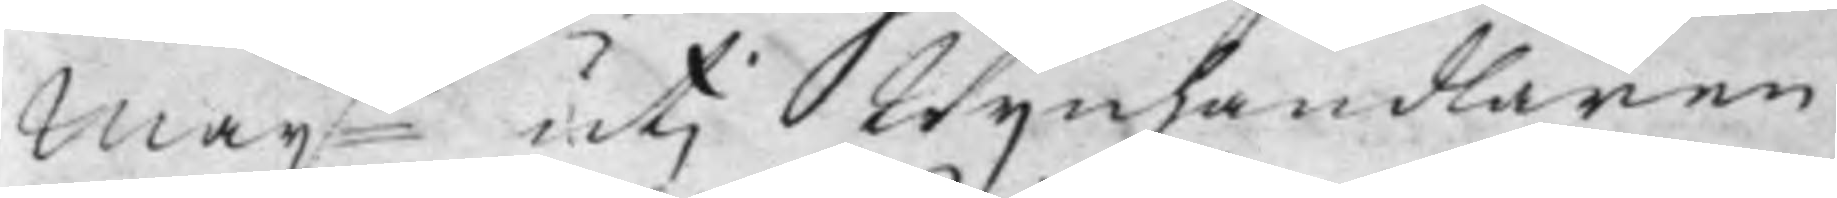Maij:tt utj Wijnhandlaren
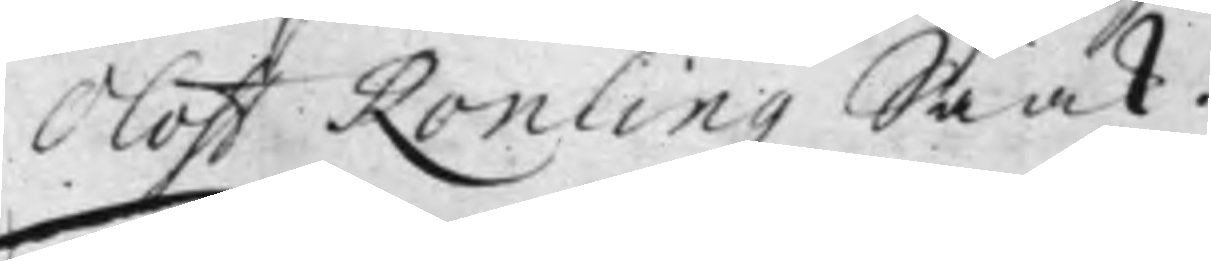Oloff Ronlingz Saak.
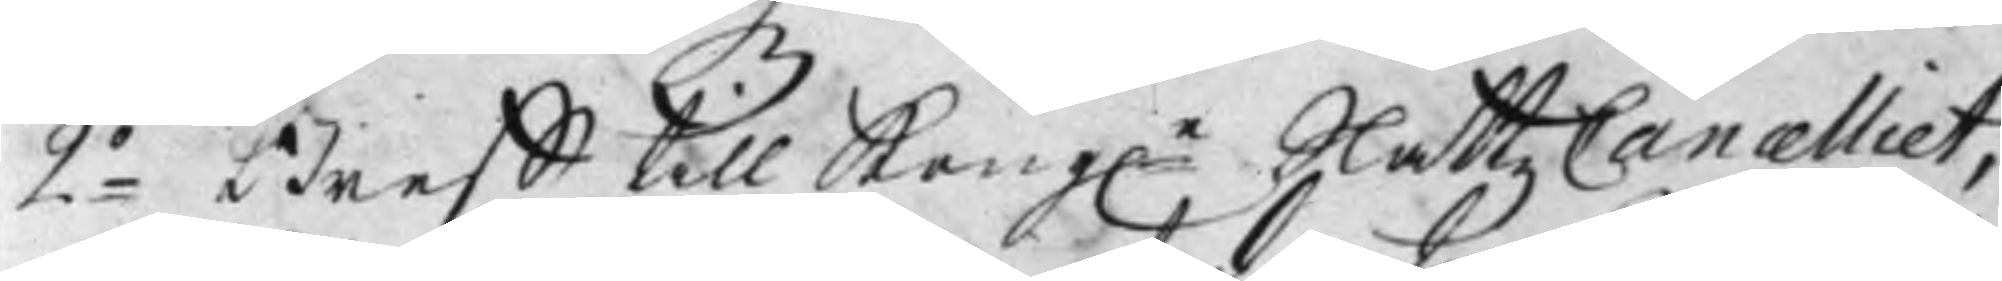2:o Breff till Kong:e Slåttz Cancelliet,
